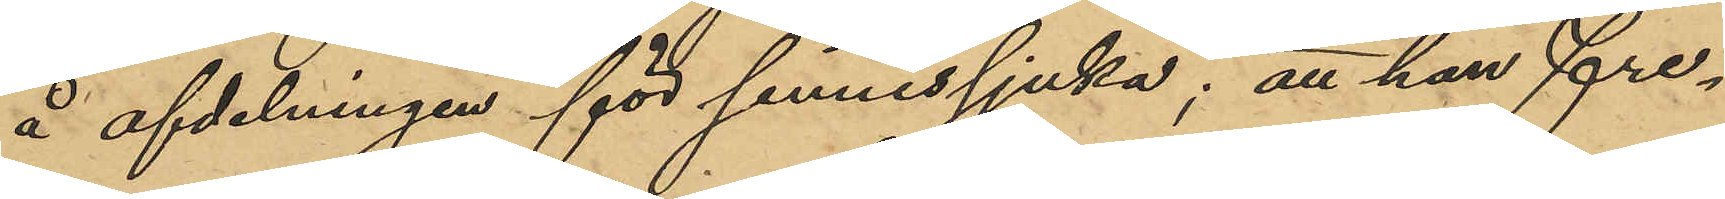å afdelningen för sinnessjuka; att han fre¬
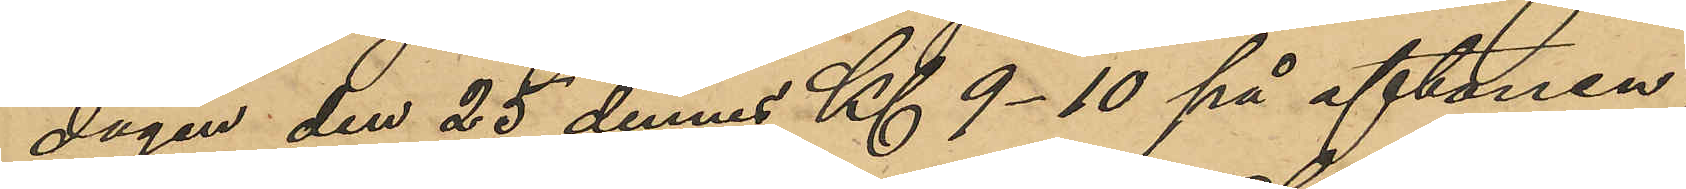dagen den 25 dennes Kl 9-10 på aftonen,
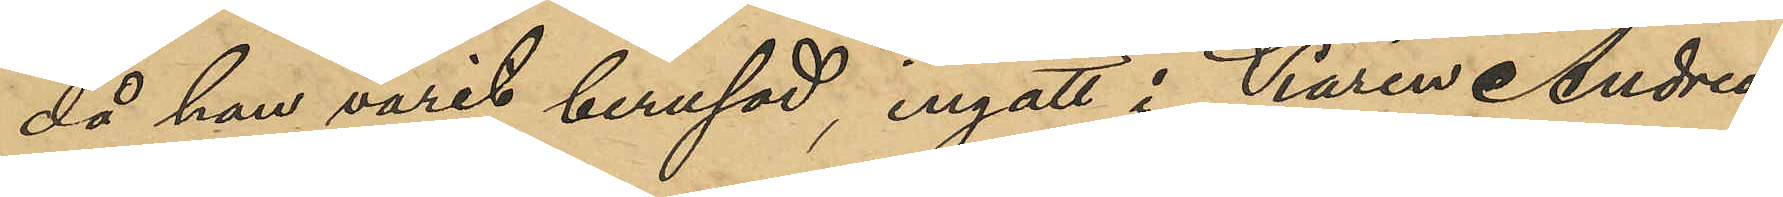då han varit berusad, ingått i Karin Andrea
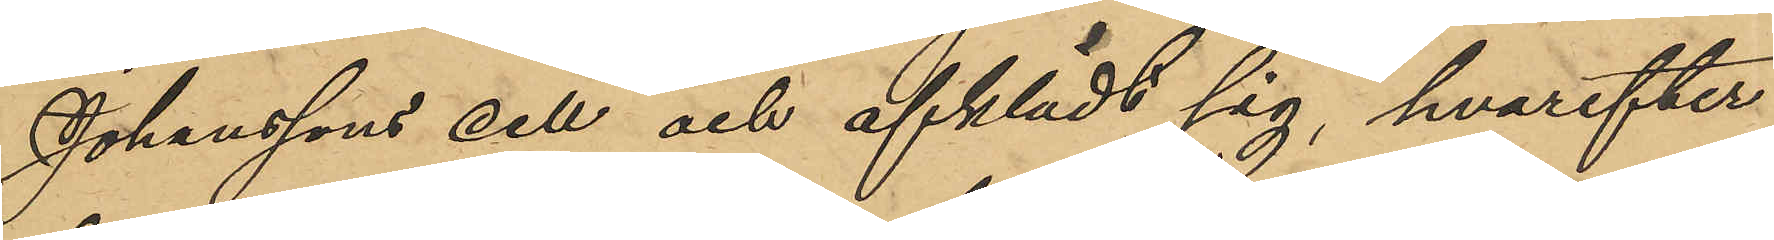Johanssons cell och afklädt sig, hvarefter
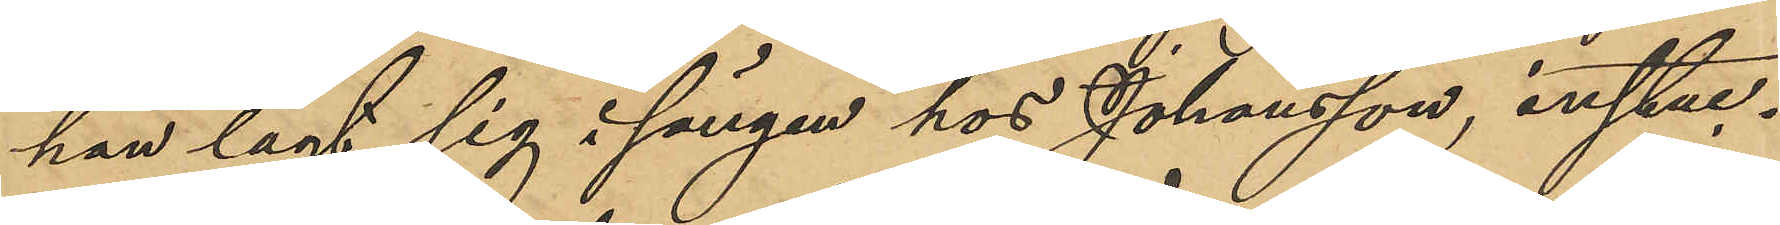han lagt sig i sängen hos Johansson, instuc¬
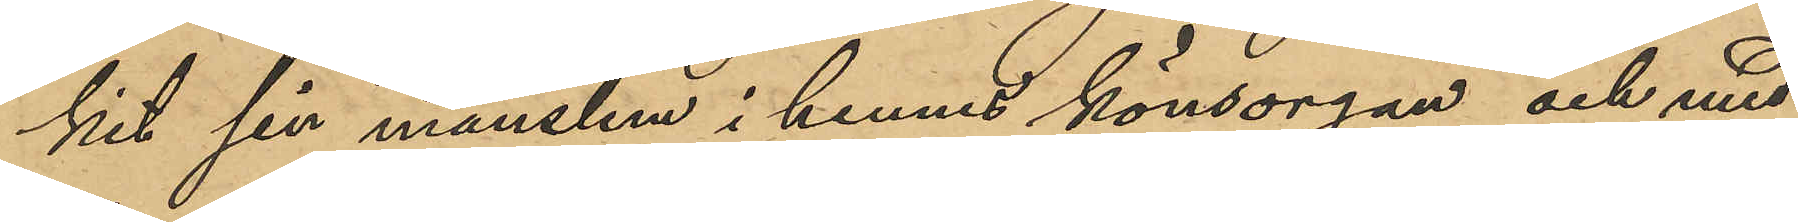kit sin manslem i hennes könsorgan och med
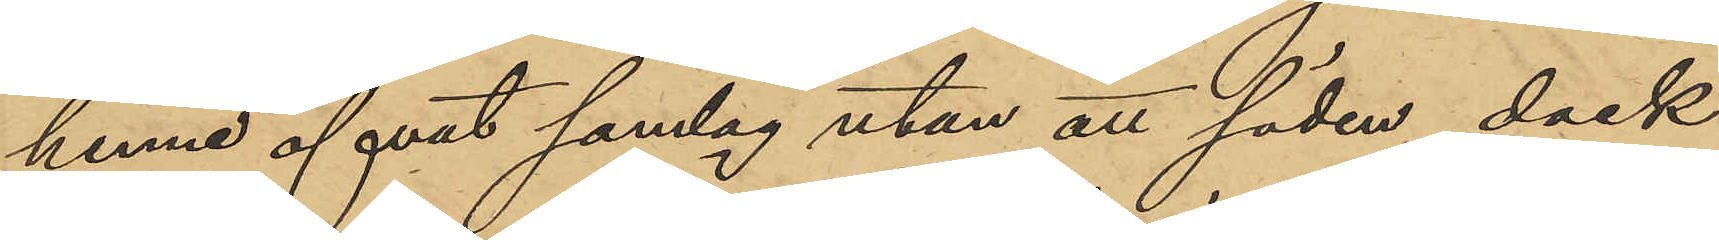henne öfvat samlag utan att säden dock
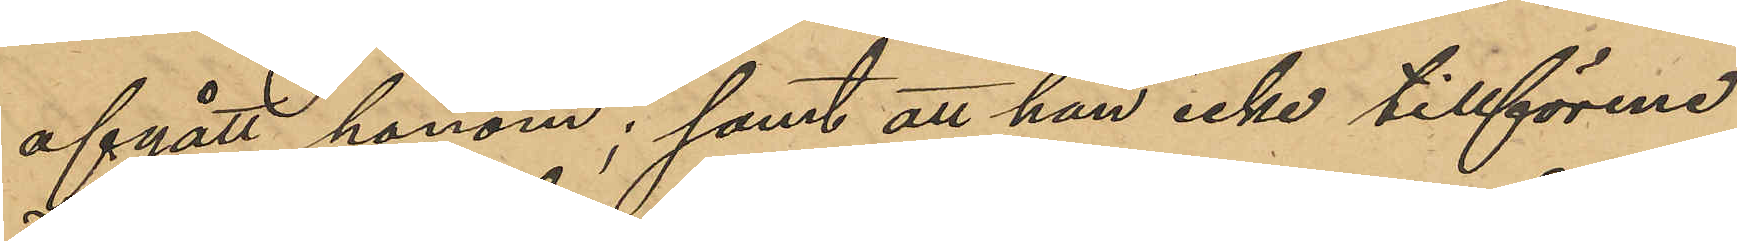afgått honom; samt att han icke tillförne
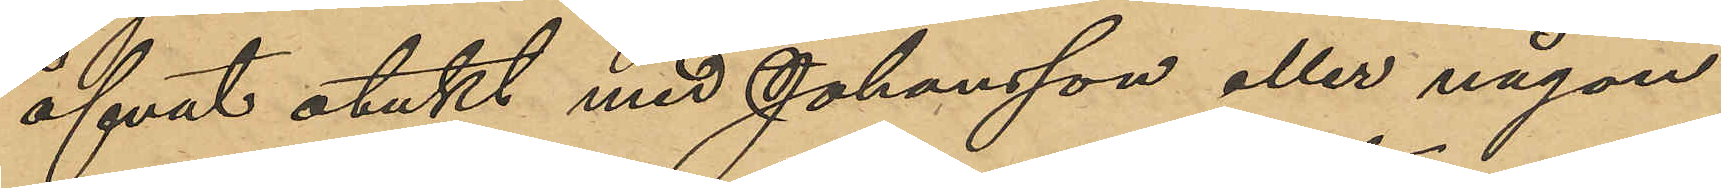öfvat otukt med Johansson eller någon
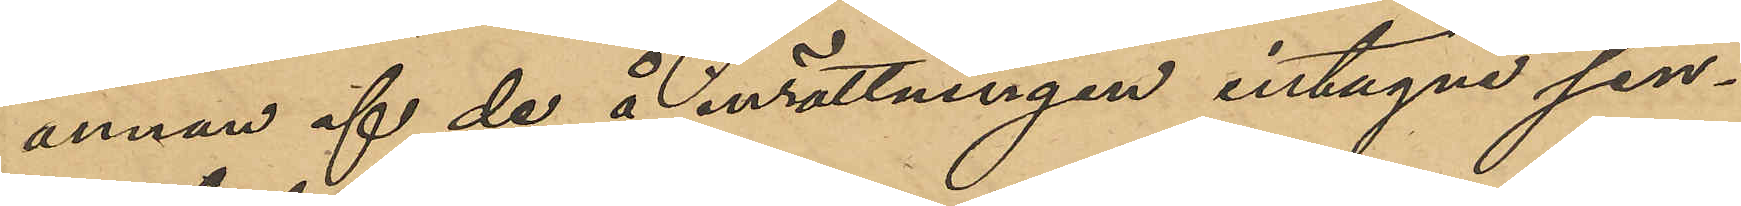annan af de å inrättningen intagne sin¬
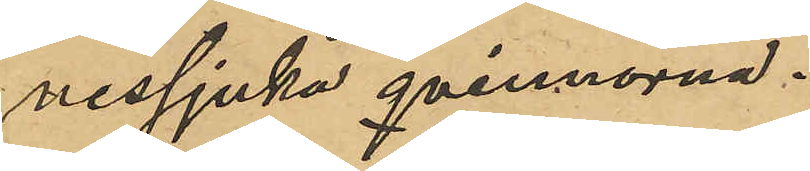nessjuka qvinnorna.
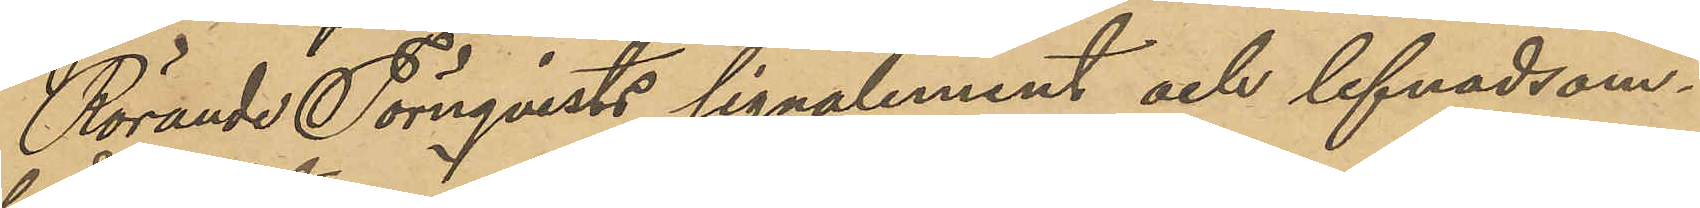Rörande Törnqvists signalement och lefnadsom¬
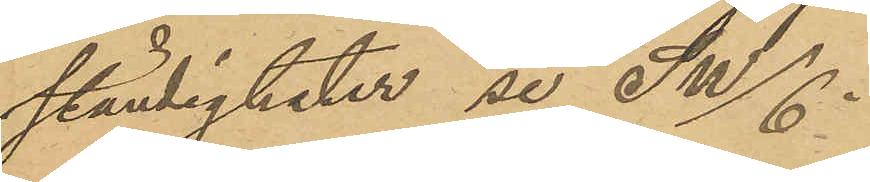ständigheter se SW/6.
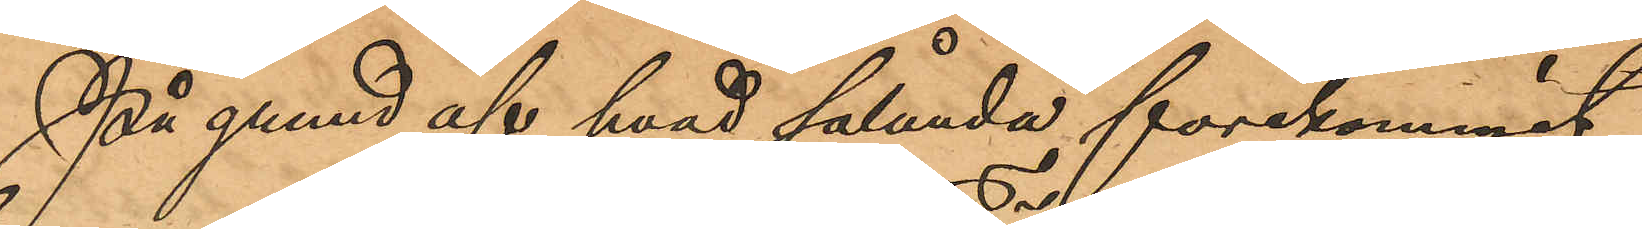På grund af hvad sålunda förekommit,
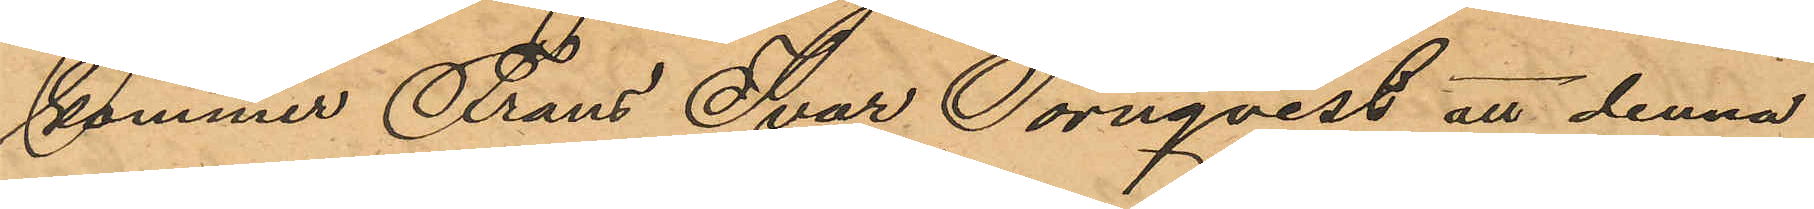kommer Frans Ivar Törnqvist att denna
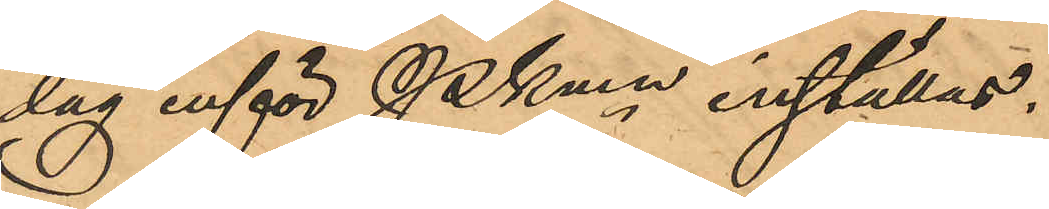dag inför PKmn inställas.
